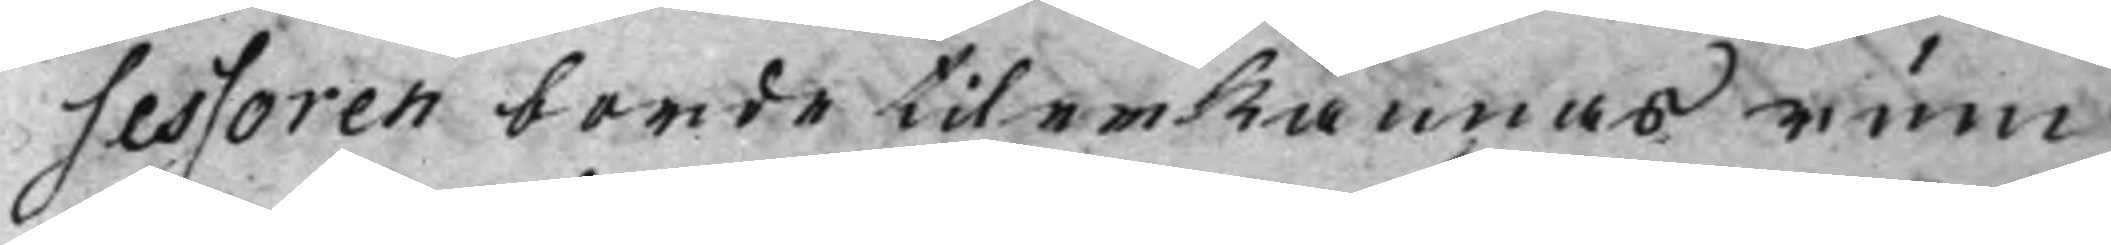sessoren borde tilerkännas rum
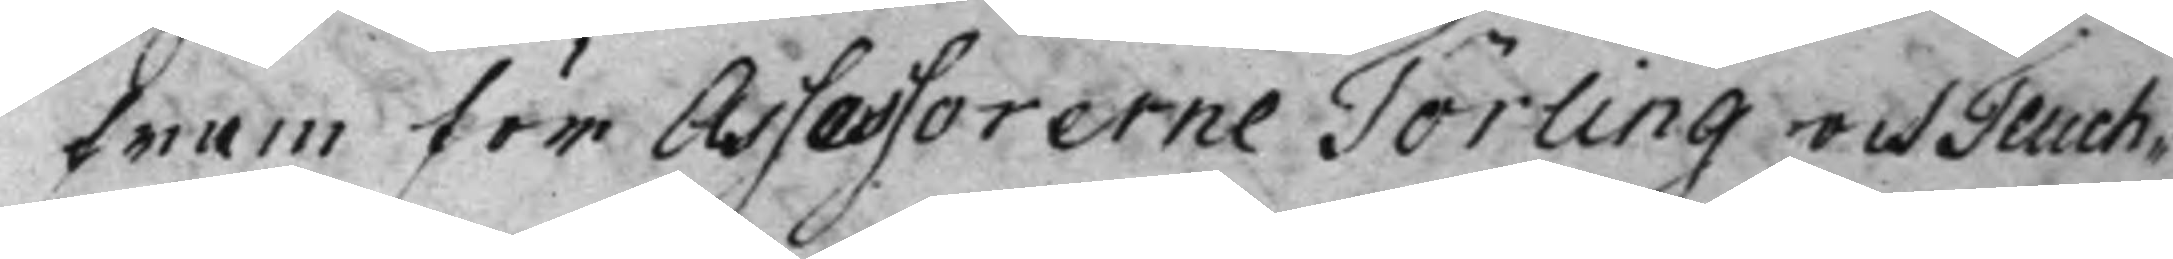fram för Assessorerne Törling och Teuch¬
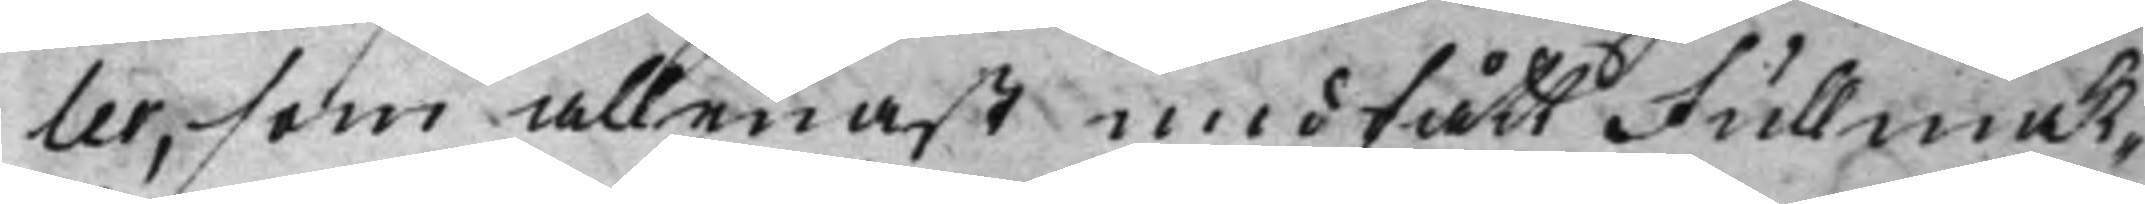ler, som allenast undfått Fullmak¬
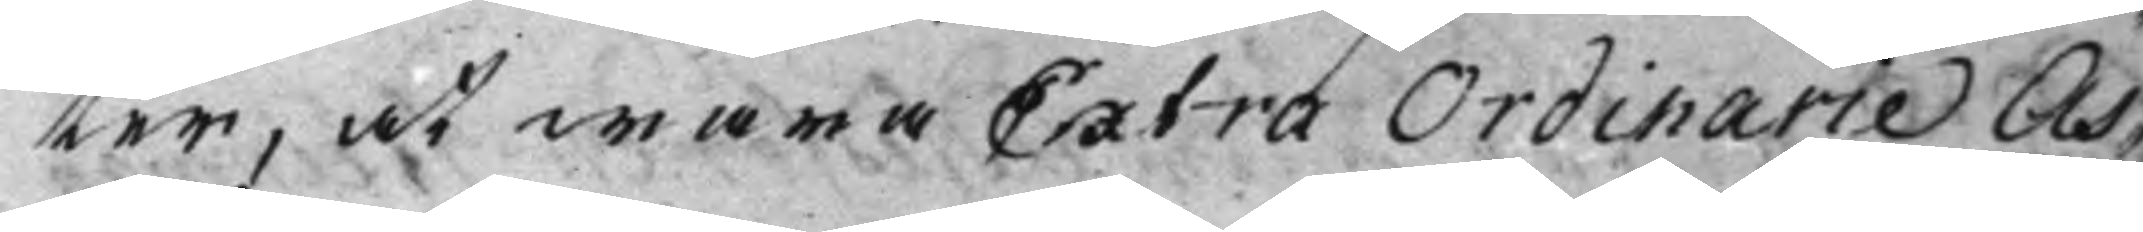ter, at wara Extra Ordinarie As¬
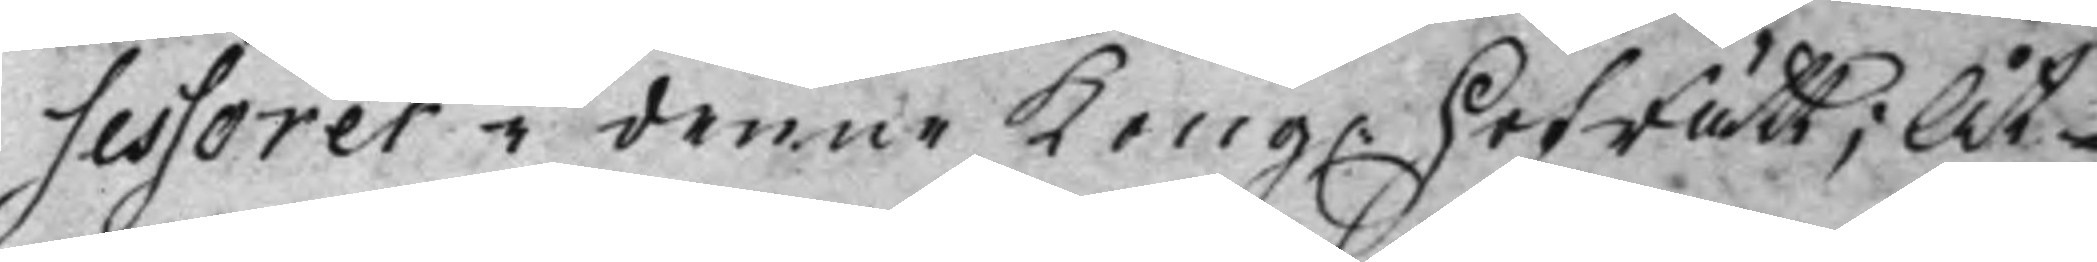sessorer i denne Kong. HofRätt; Åt¬ 
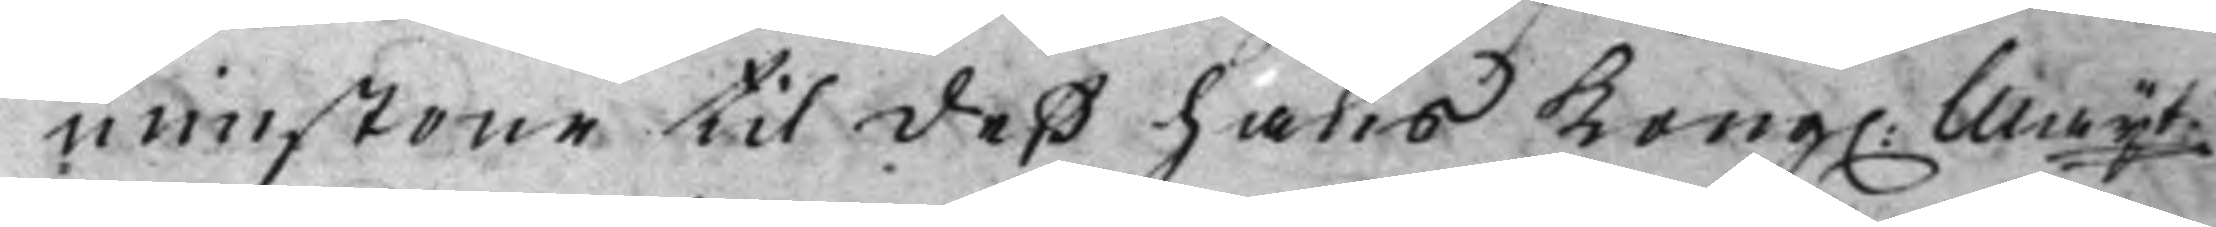minstone til deß hans Kong. Maijt 
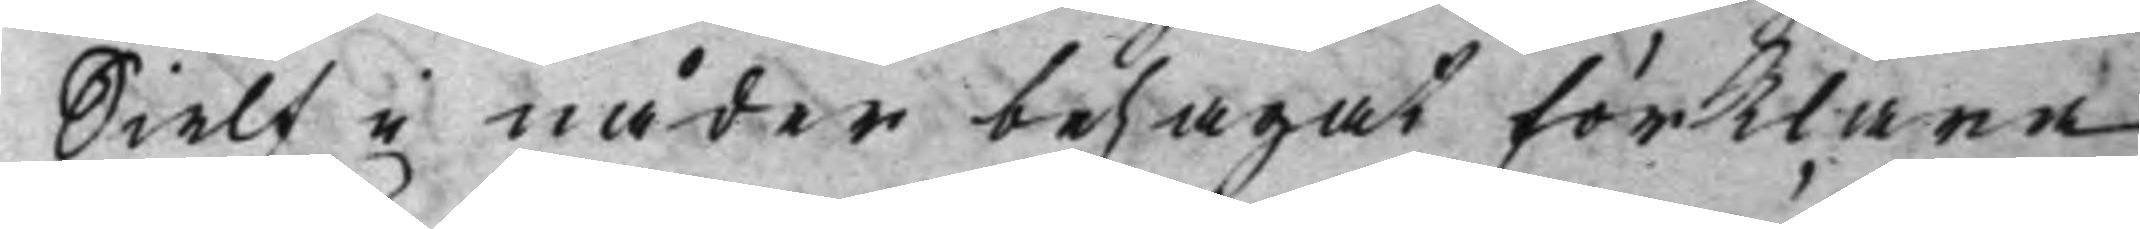Sielf i nåder behagat förklara
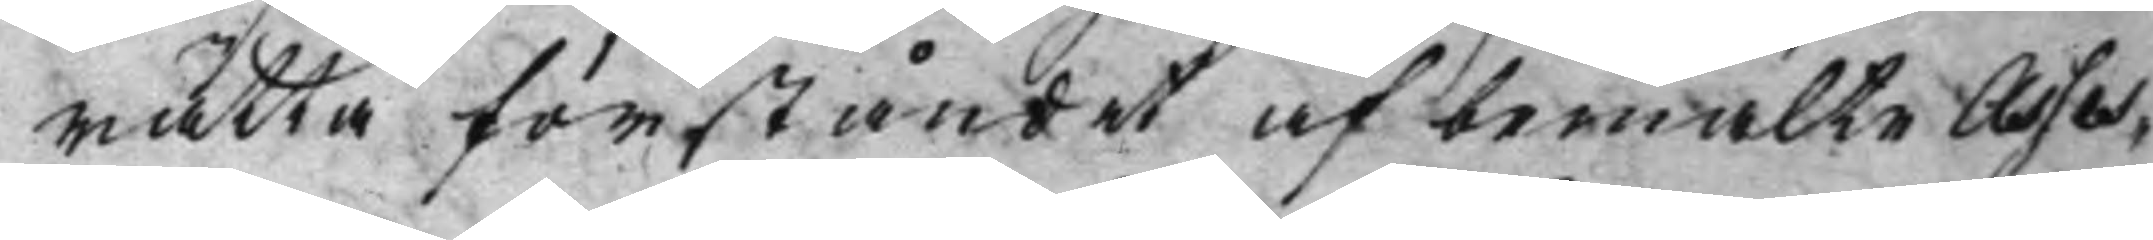rätta förståndet af bemälte Asses¬
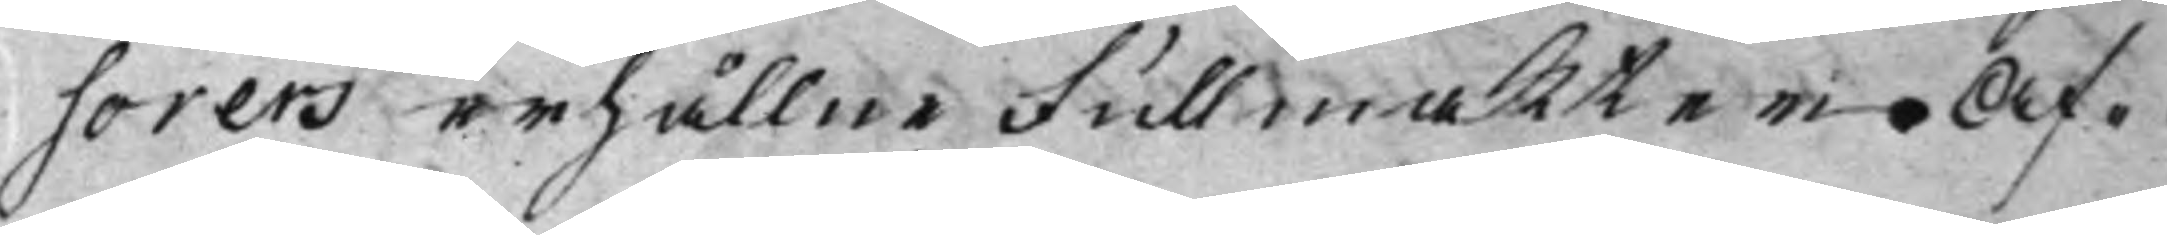sorers erhållne Fullmakter. Af¬
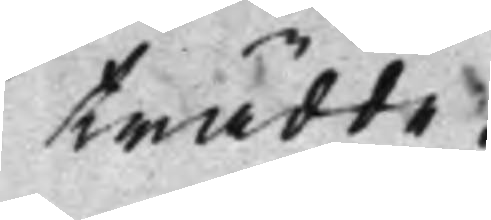trädde.
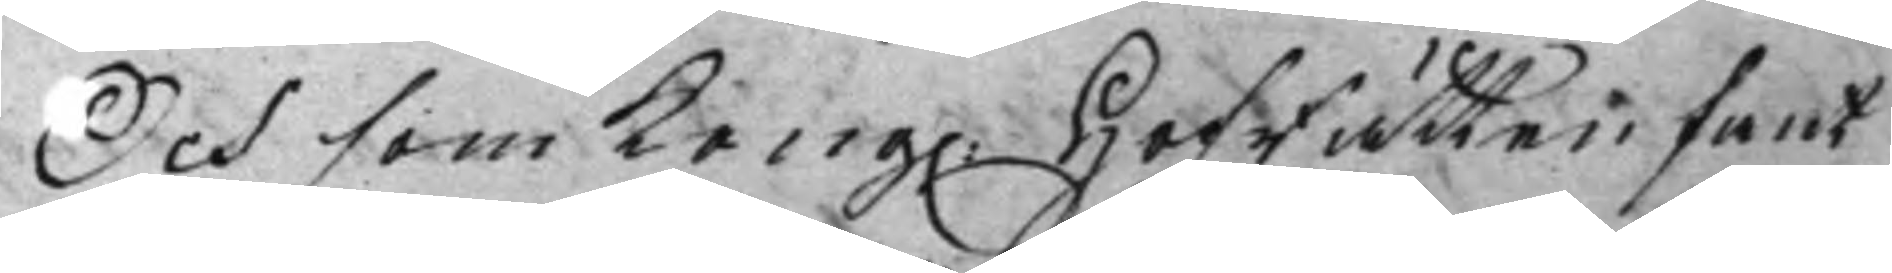Och som Kong. HofRätten fant 
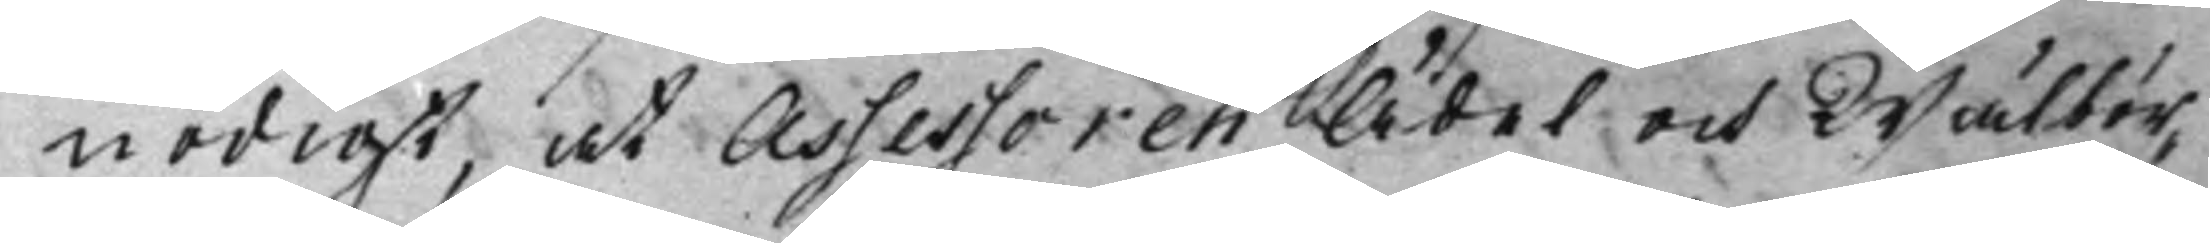nödigt, at Assessoren Ädel och Wälbör¬
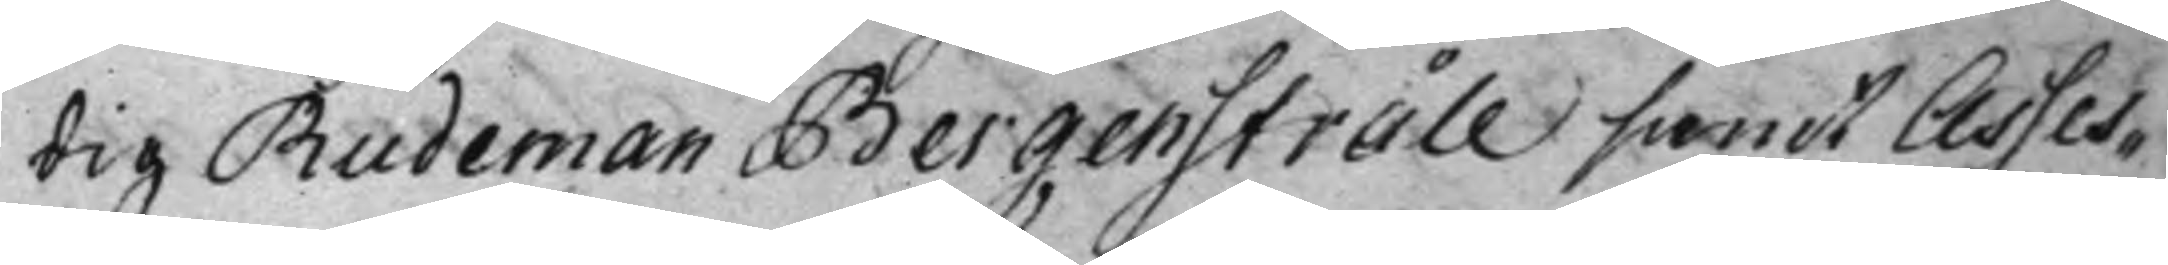dig Rudeman Bergenstråle samt Asses¬
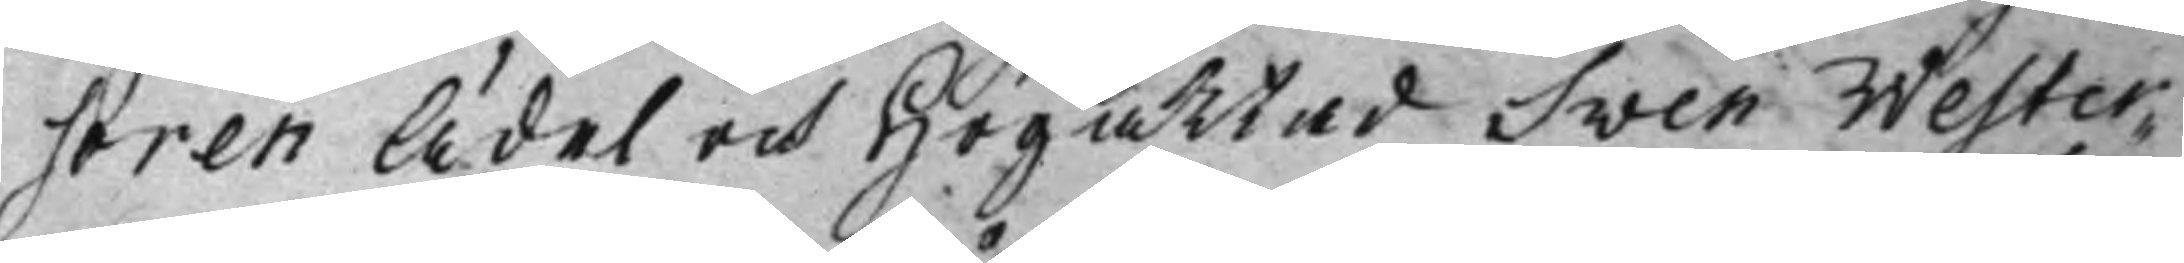soren Ädel och Högaktad Sven Wester¬
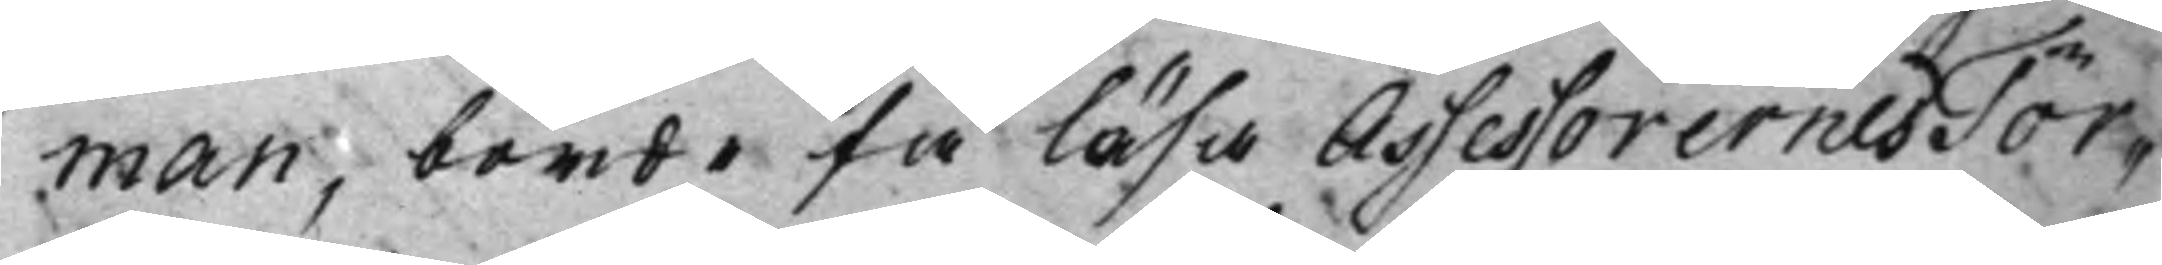man, borde få läsa Assessorernes Tör¬
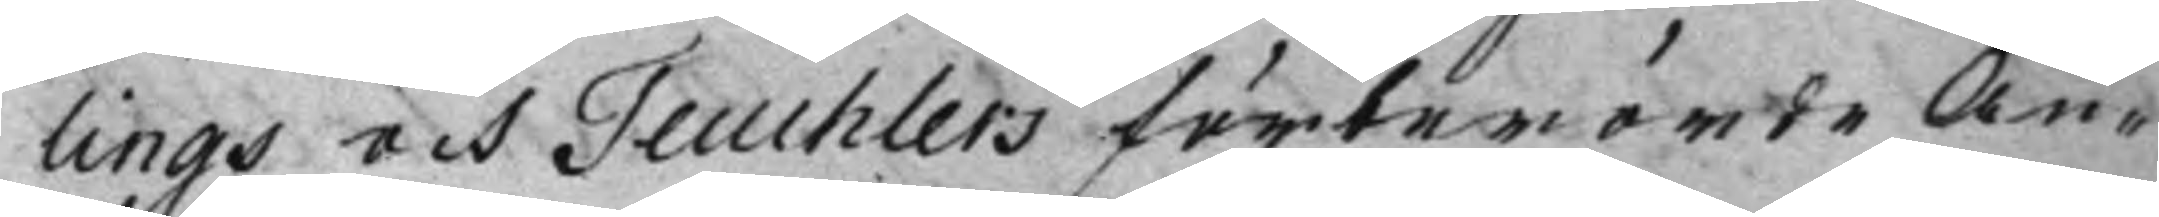lings och Teuchlers förberörde An¬
